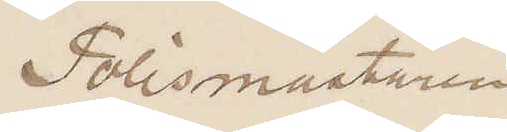Polismästaren
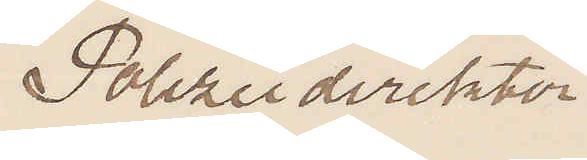Polizeidirektor
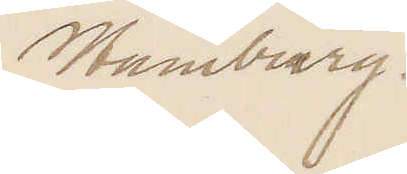Hamburg.
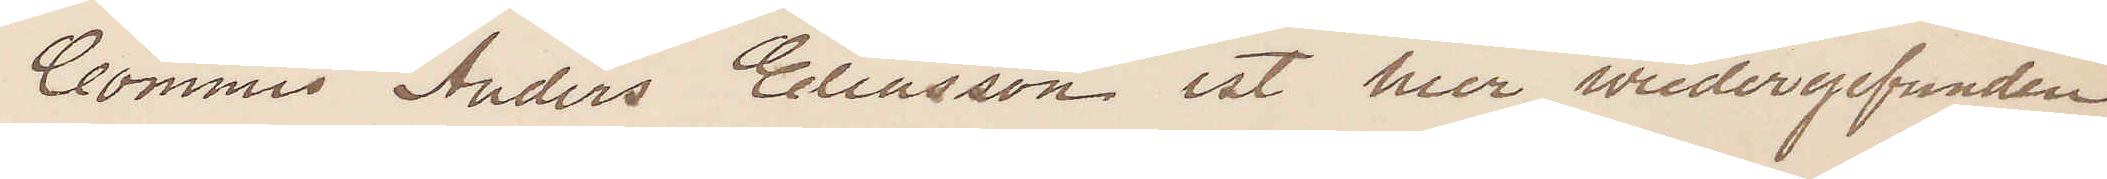Commis Anders Eliasson ist hier widergefunden
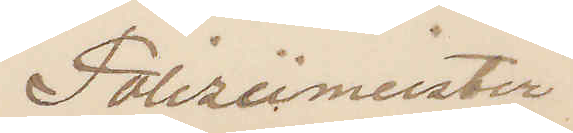Polizeimeister
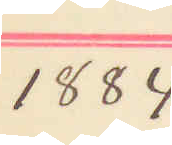1884
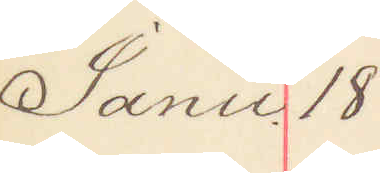Janu 18
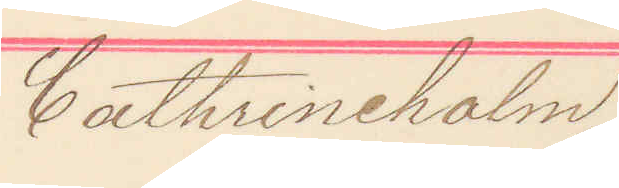Cathrineholm
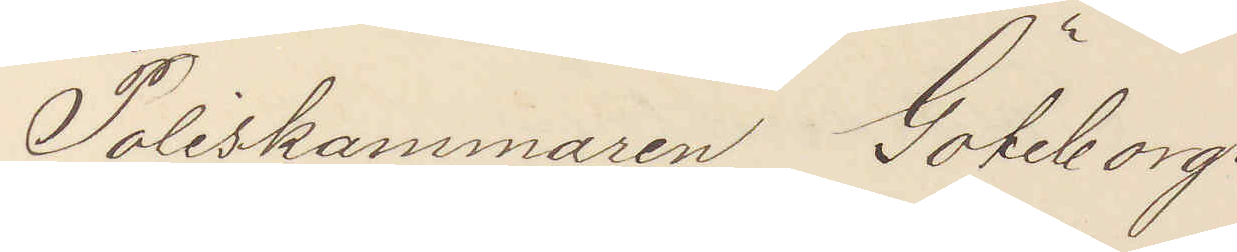Poliskammaren Göteborg.
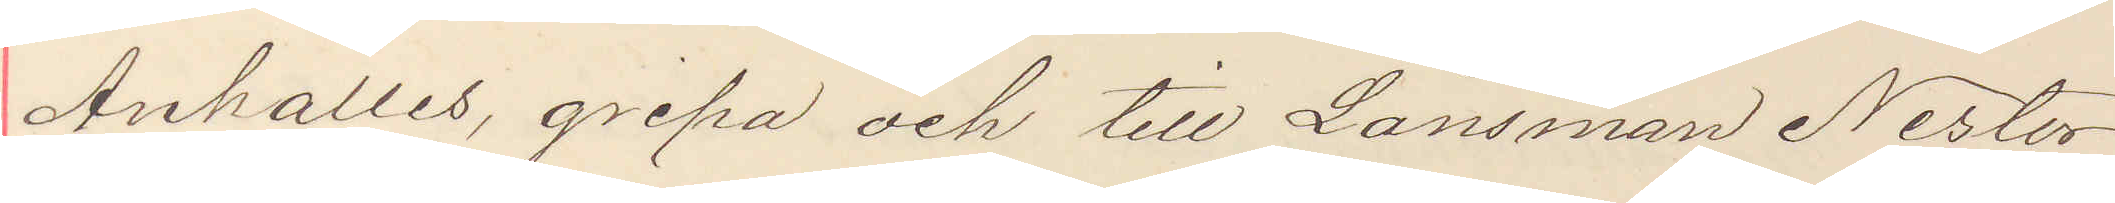Anhålles gripa och till Länsman Nestor
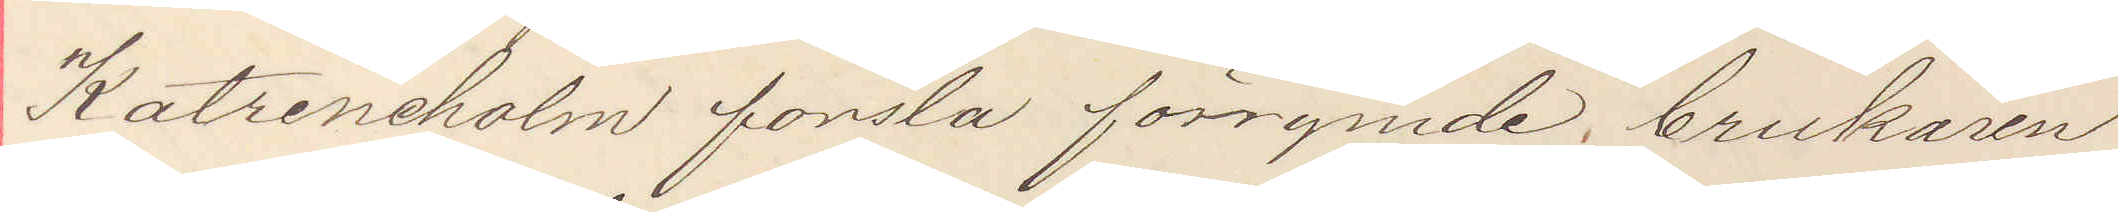Katrineholm forsla förrymde brukaren
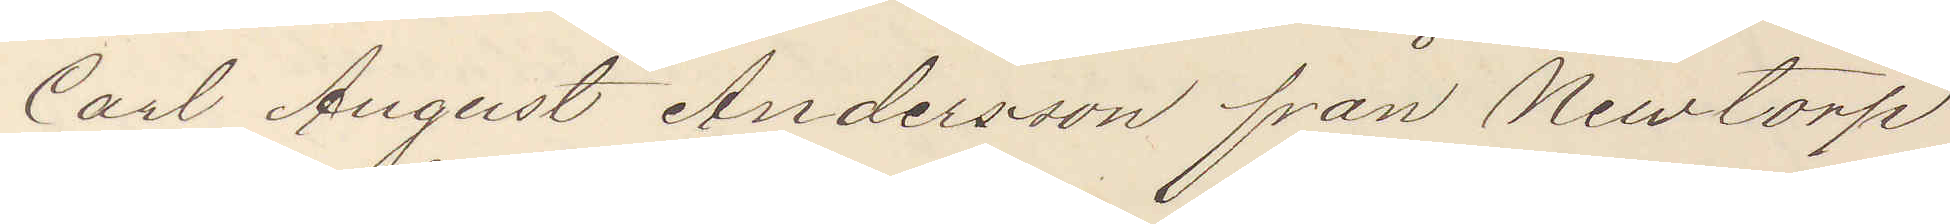Carl August Andersson från Nimtorp
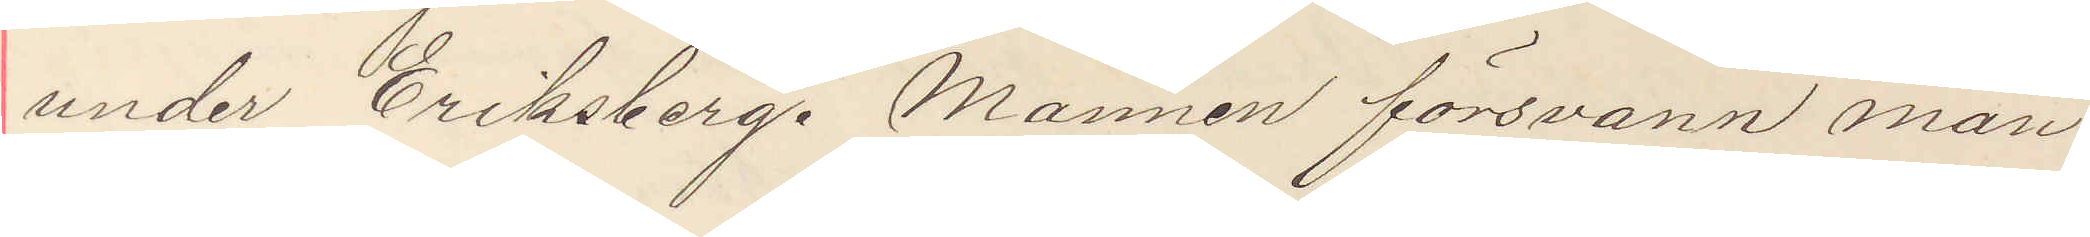under Eriksberg. Mannen försvann mån¬
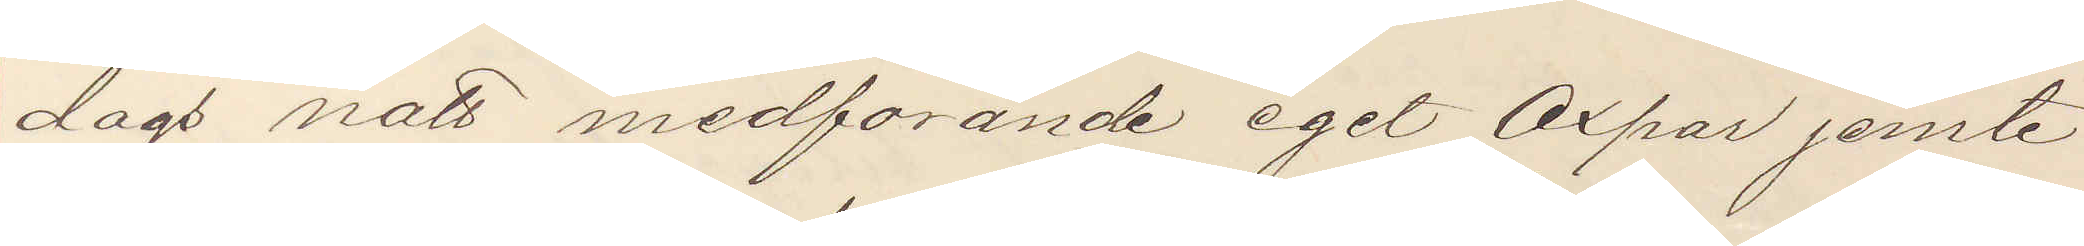dags natt medförande eget oxpar jemte
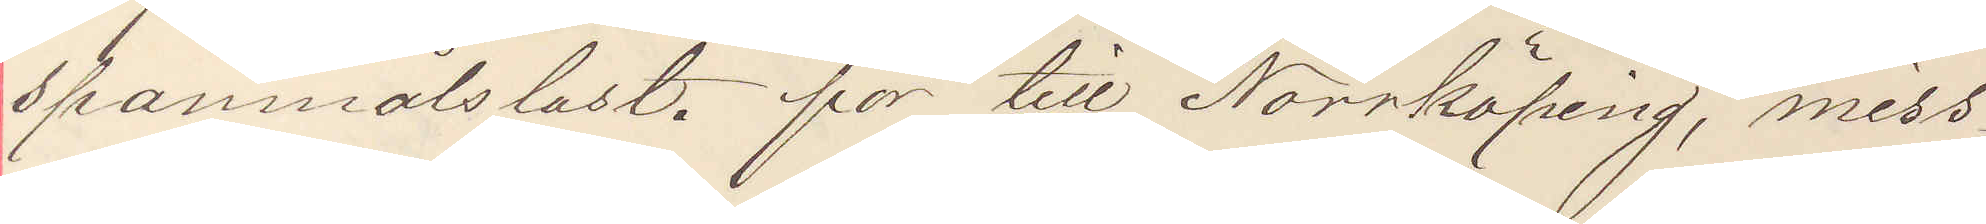spannmålslast. for till Norrköping, miss¬
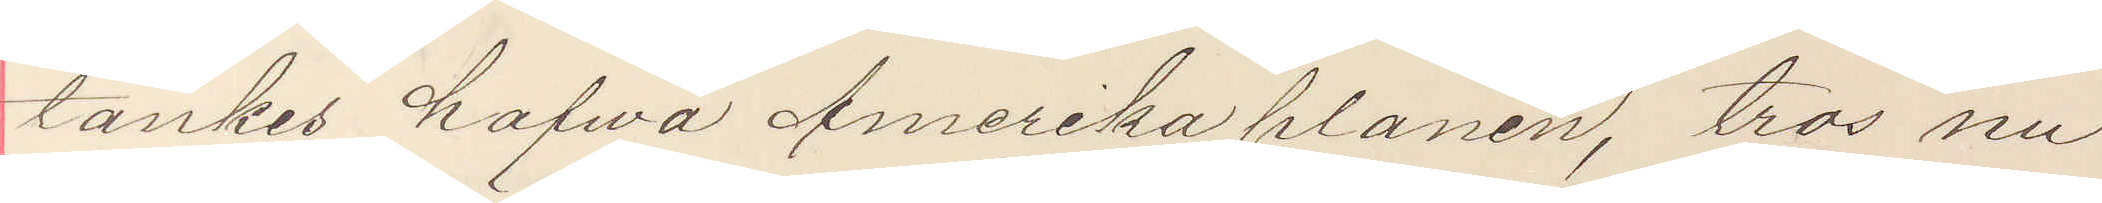tänkes hafva Amerikaplaner, tros nu
